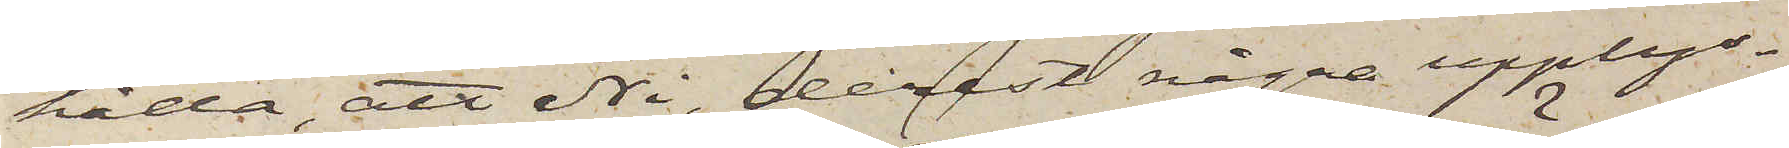hålla, att Ni, derest några upplys¬
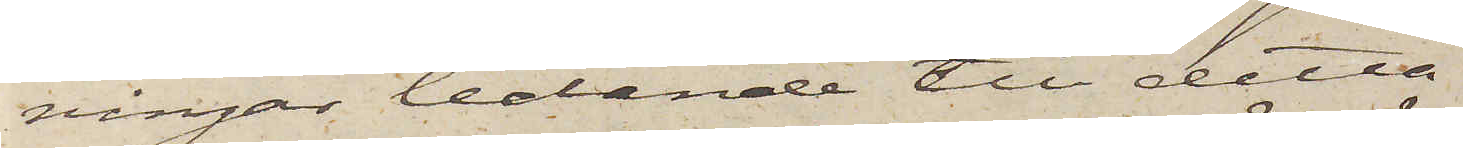ningar ledande till detta
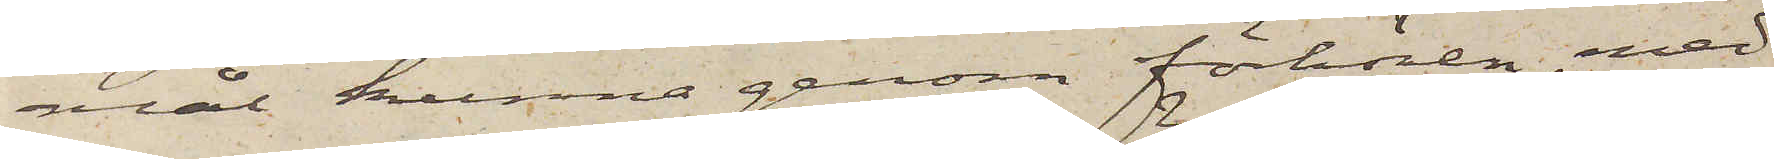mål kunna genom förhören med
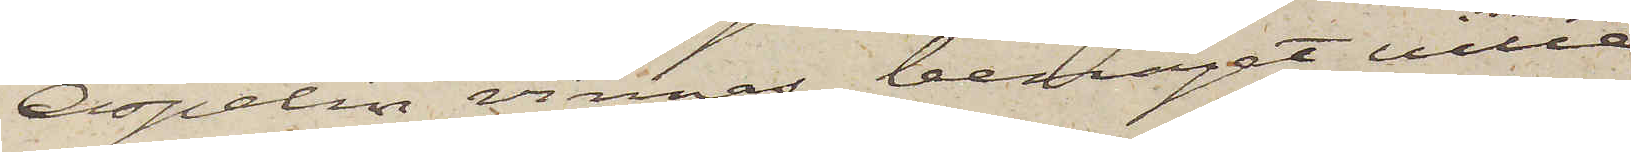Aspelin vinnas, benäget ville
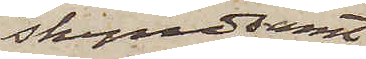skyndsamt
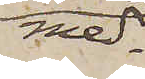med¬
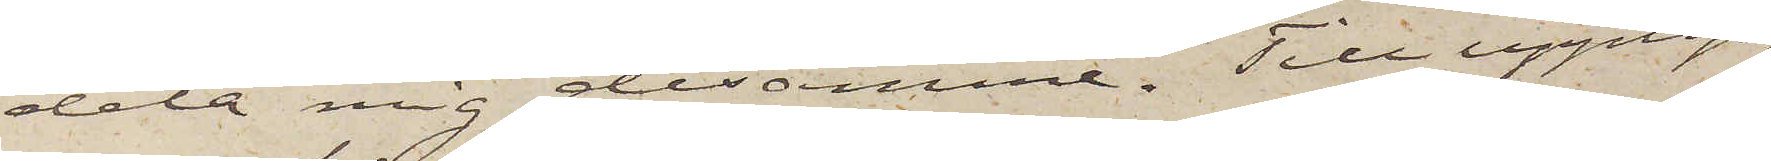dela mig desamme. Till upplys¬
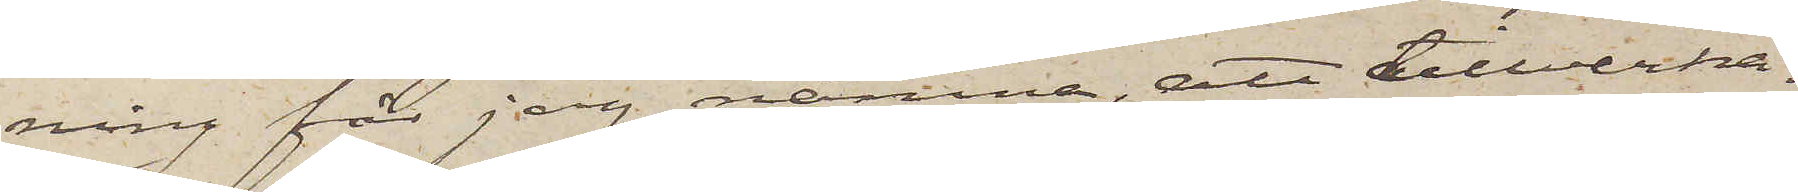ning får jag nämna, att tillverka¬
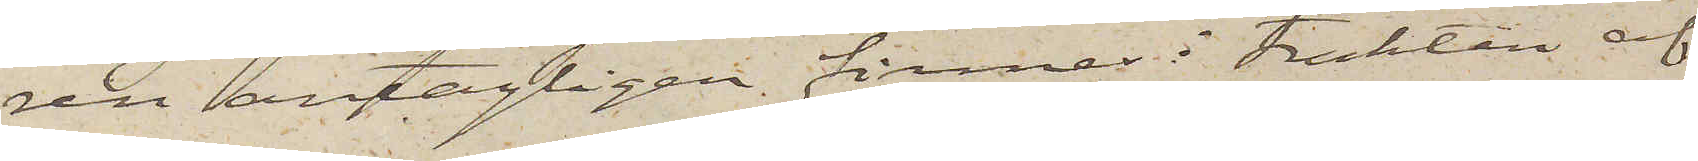ren antagligen finnes i trakten af
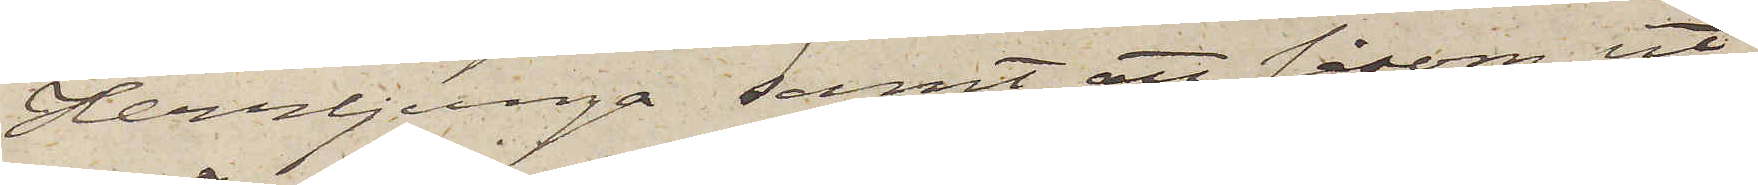Herrljunga samt att såsom ut¬
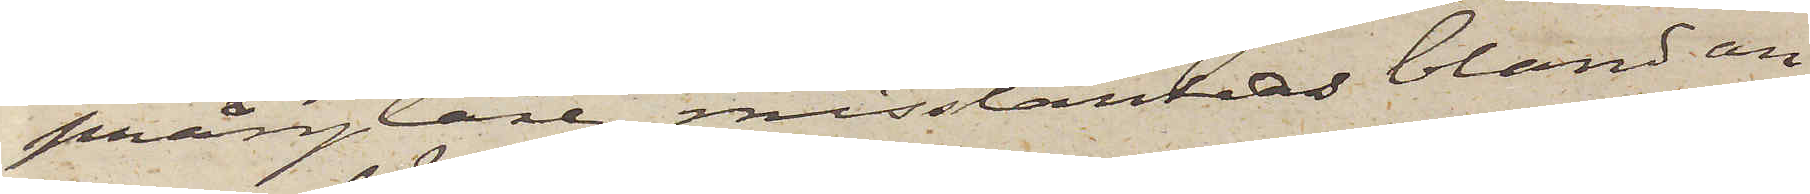prånglare misstänkas bland an¬
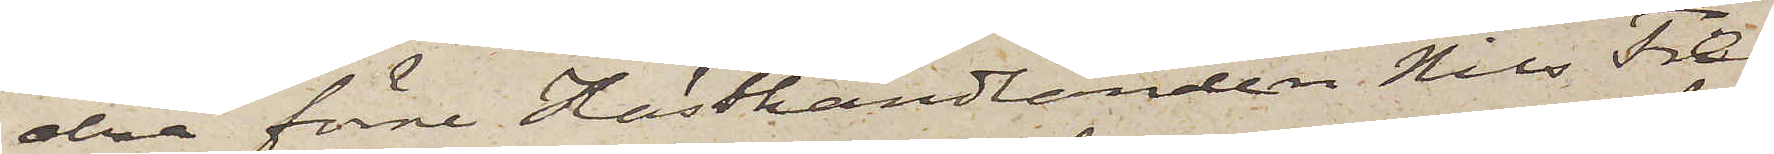dra förre Hästhandlanden Nils Fre¬
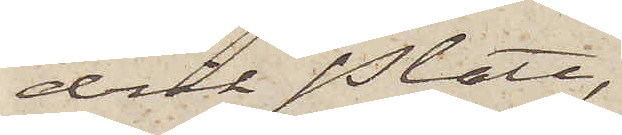drik Platt,
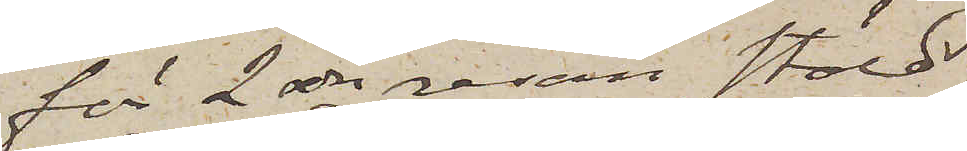för 2dra resan stöld
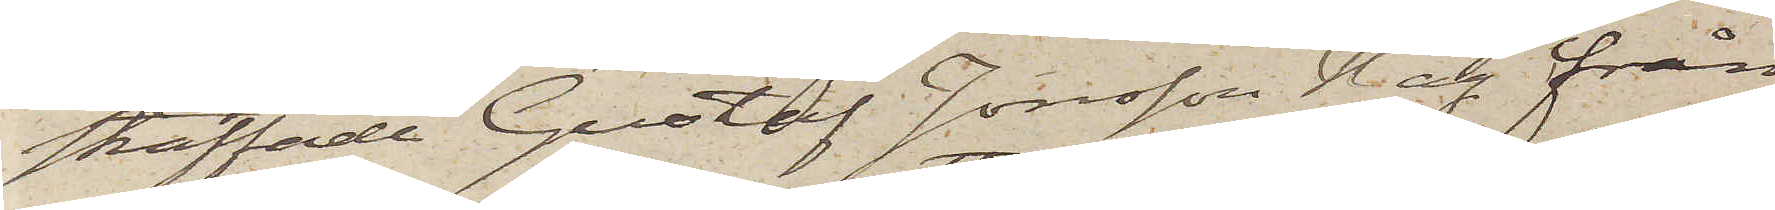straffade Gustaf Jonsson Hag från
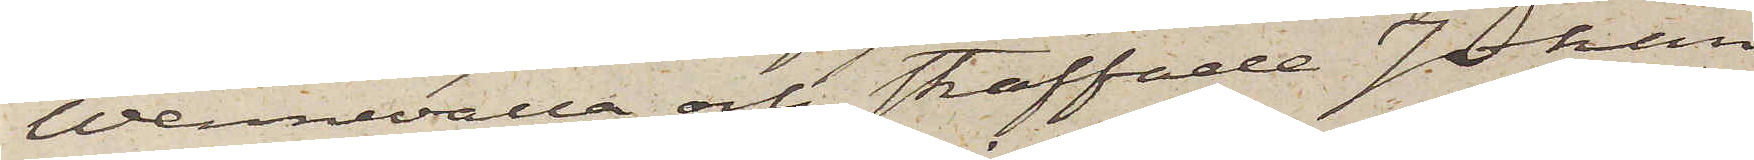Wennevalla och straffade Johan
